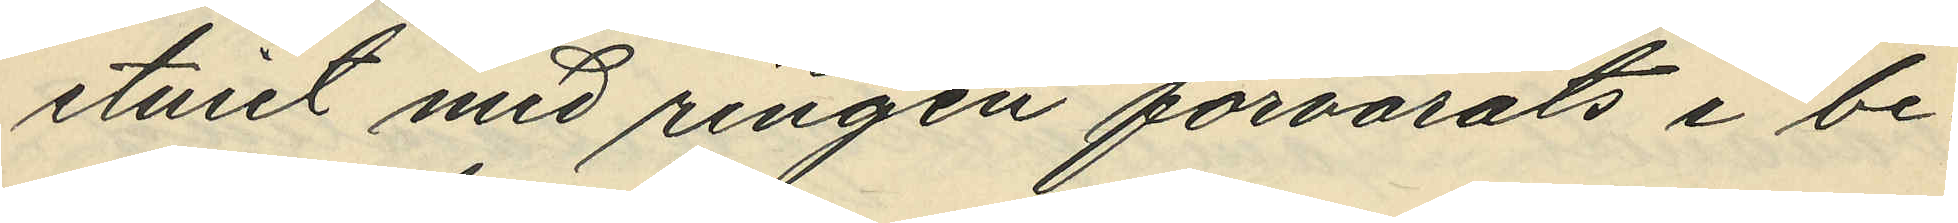etuiet med ringen förvarats i be¬
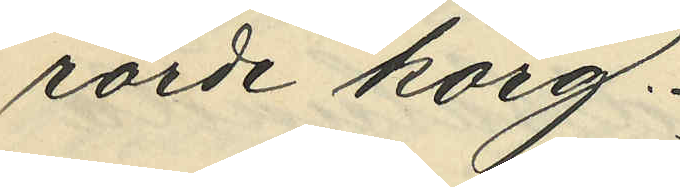rörde korg.
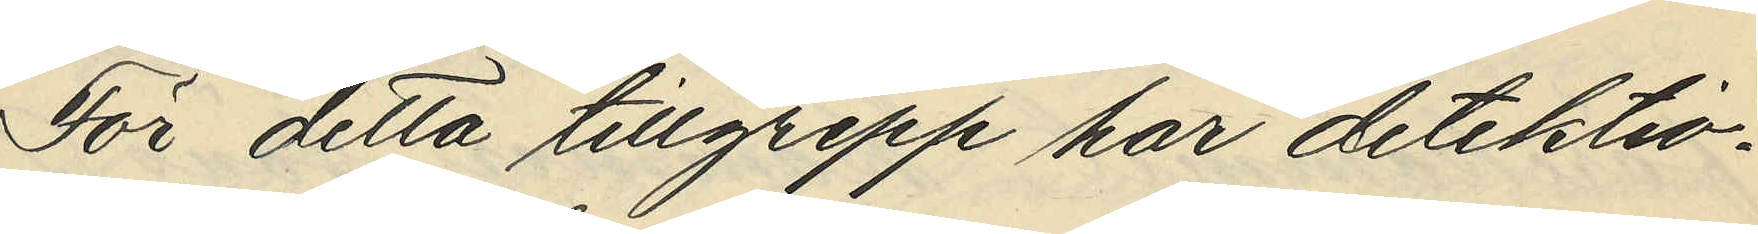För detta tillgrepp har detektiv¬
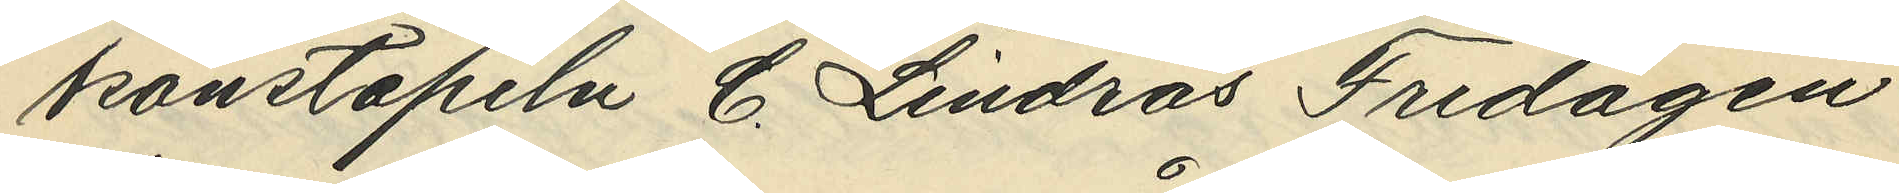konstapeln C. Lindros Fredagen
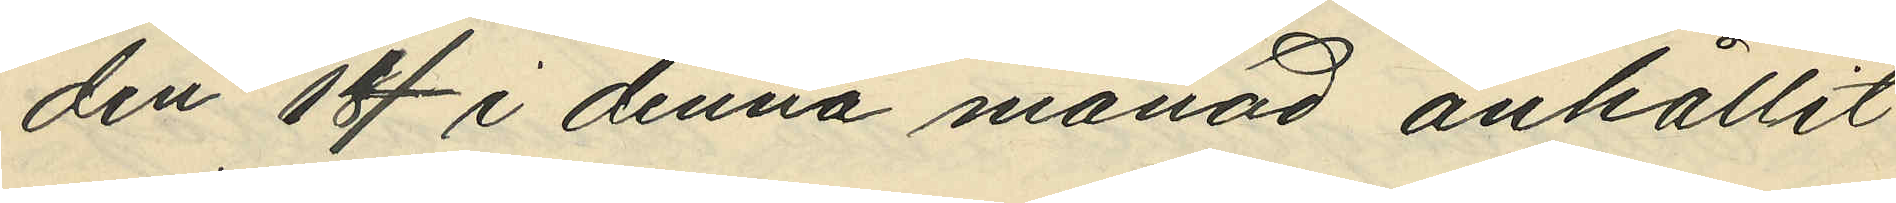den 14 i denna månad anhållit
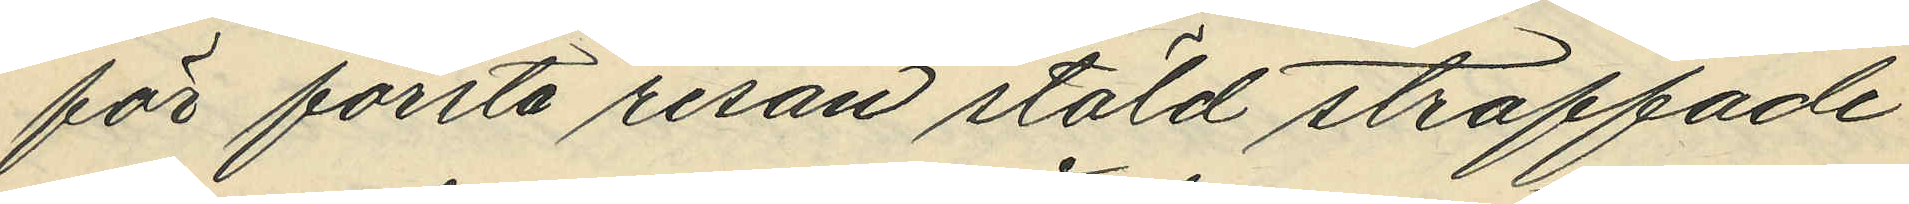för första resan stöld straffade
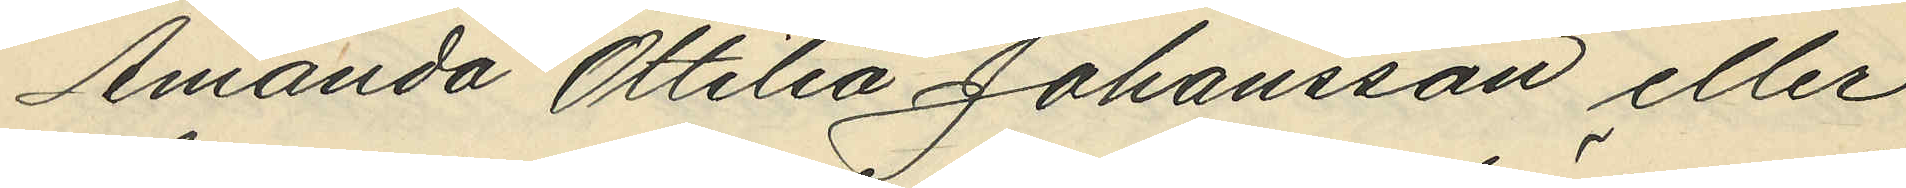Amanda Ottilia Johansson eller
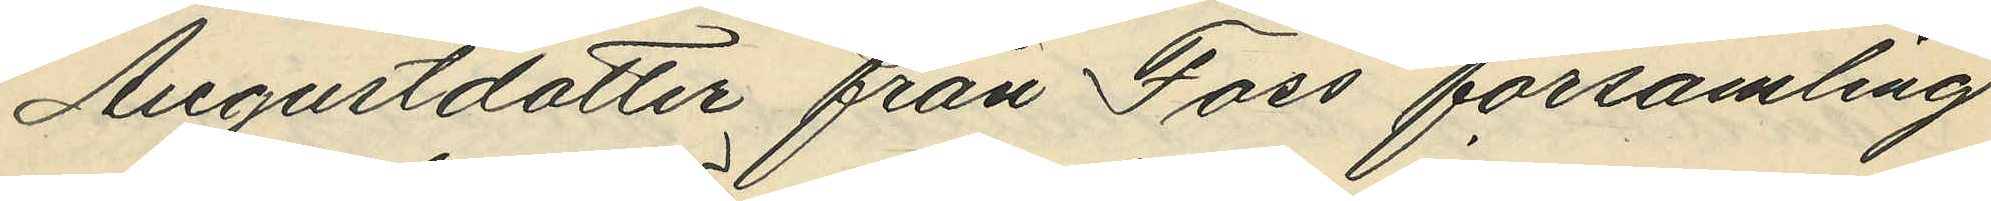Augustdotter från Foss församling
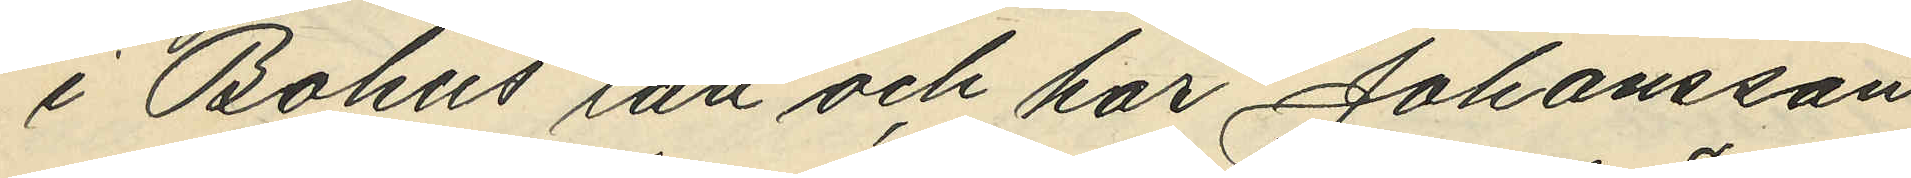i Bohus län och har Johansson
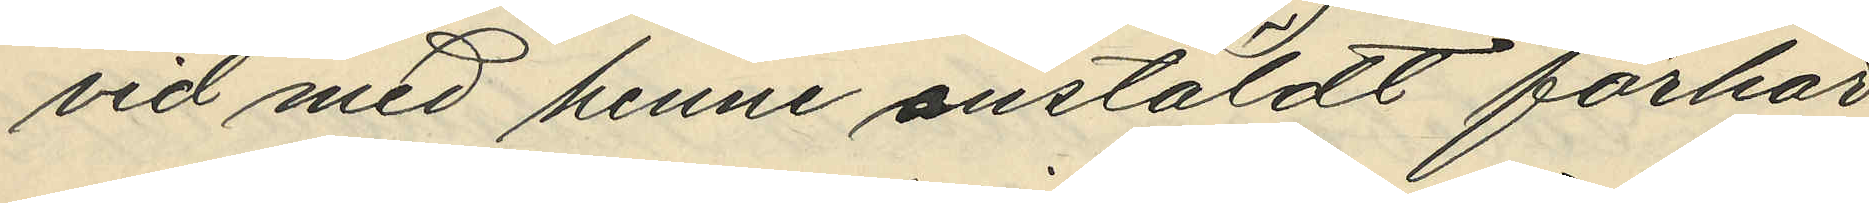vid med henne anstäldt förhör
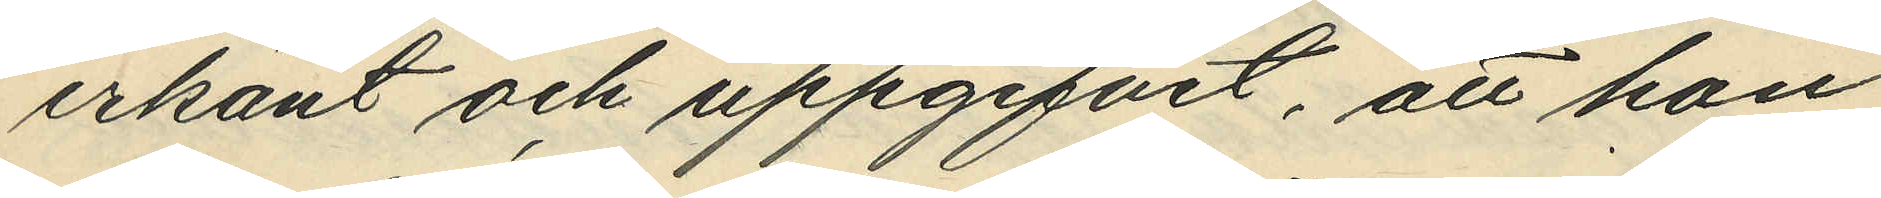erkänt och uppgifvit, att hon
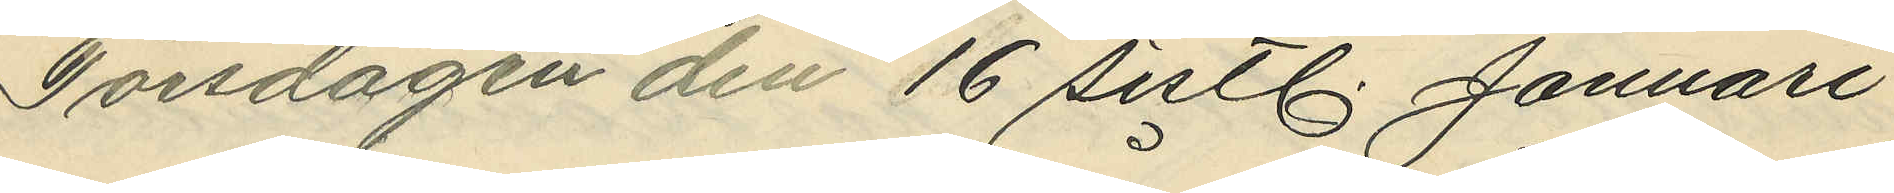Torsdagen den 16 sistl. Januari
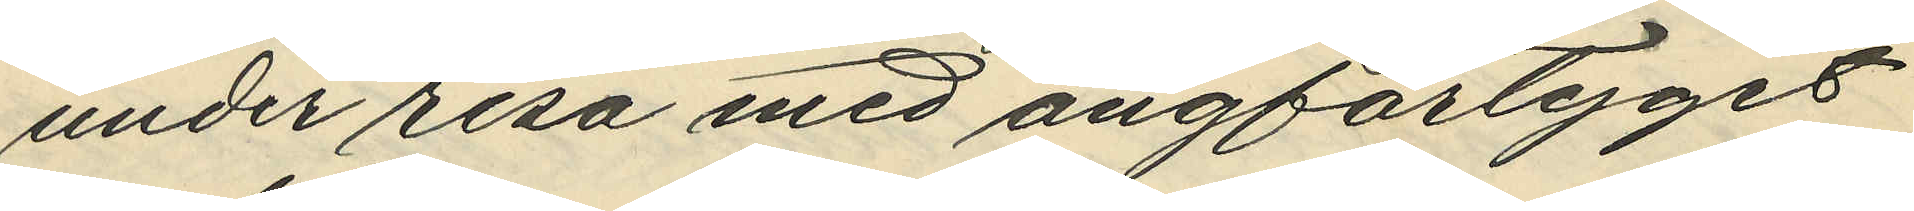under resa med ångfartyget
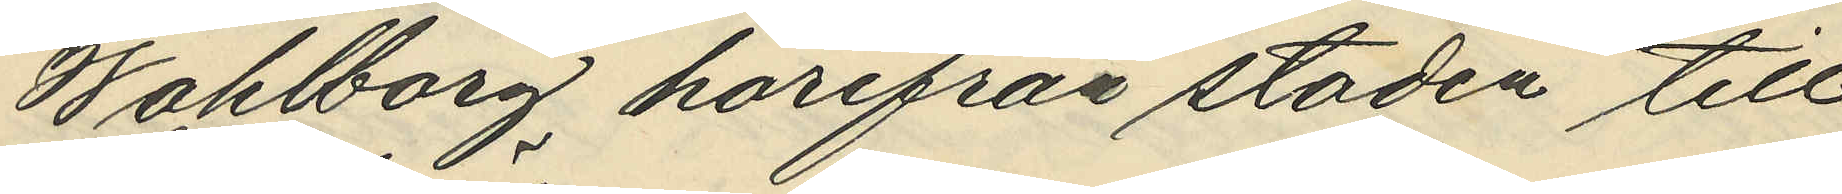Wahlborg härifrån staden till
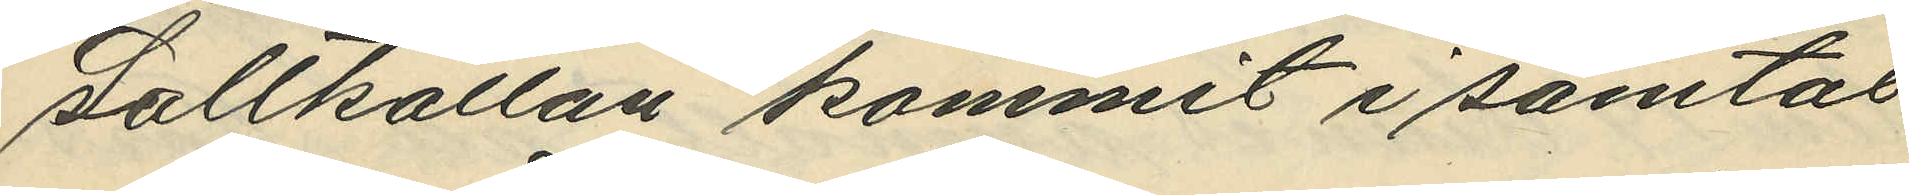Saltkällan kommit i samtal
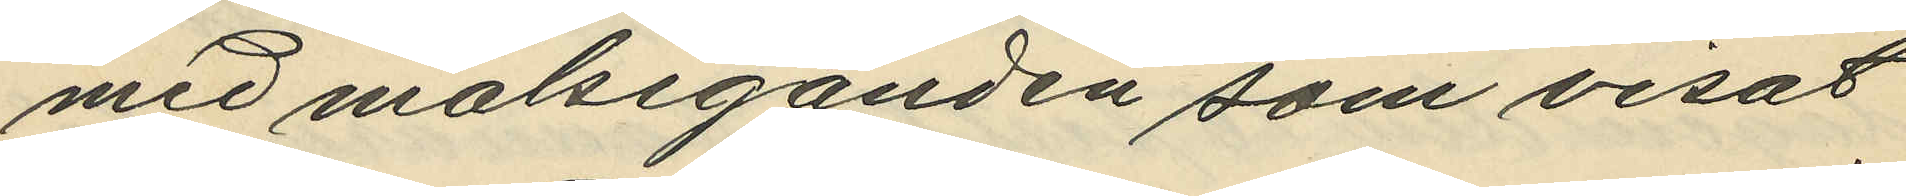med målseganden som visat
